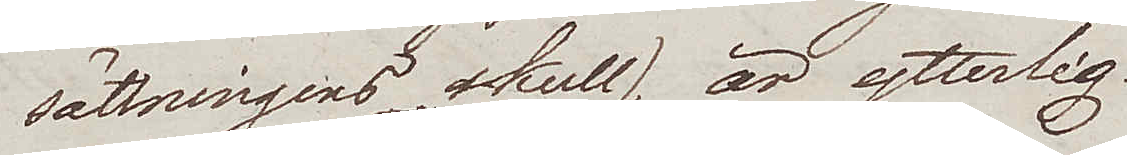sättningens skull), är ytterlig.
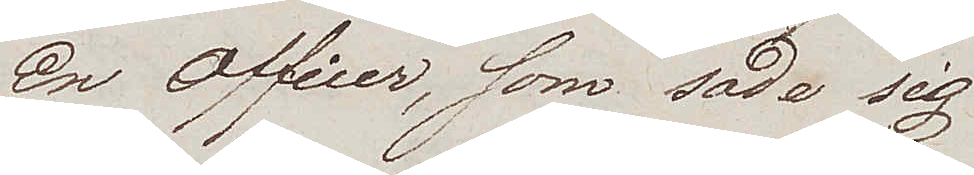En Officer, som sade sig
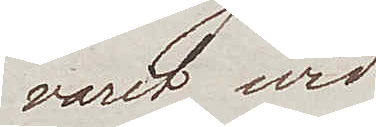varit wid
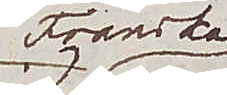Franska
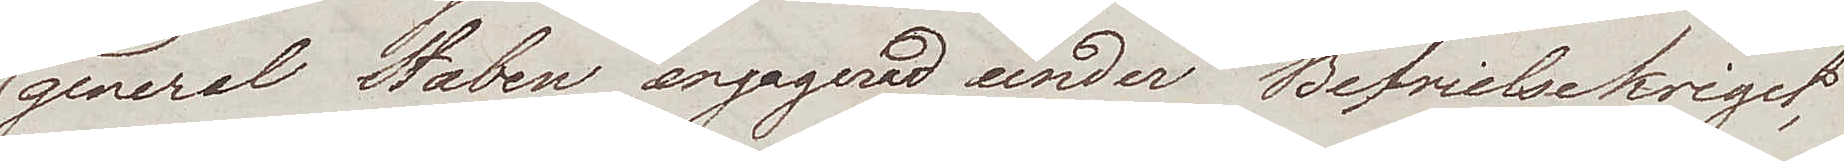general Staben engagerad under Befrielsekriget,
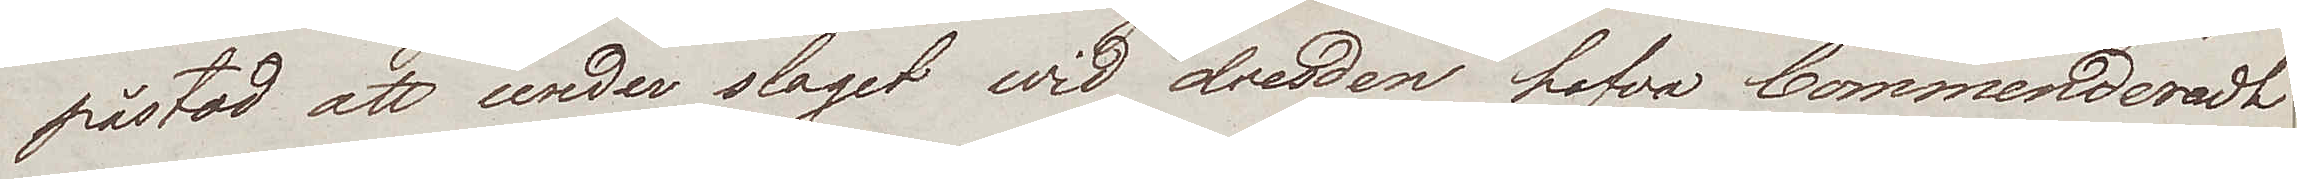påstod att under slaget wid Dresden hafva Commenderadt
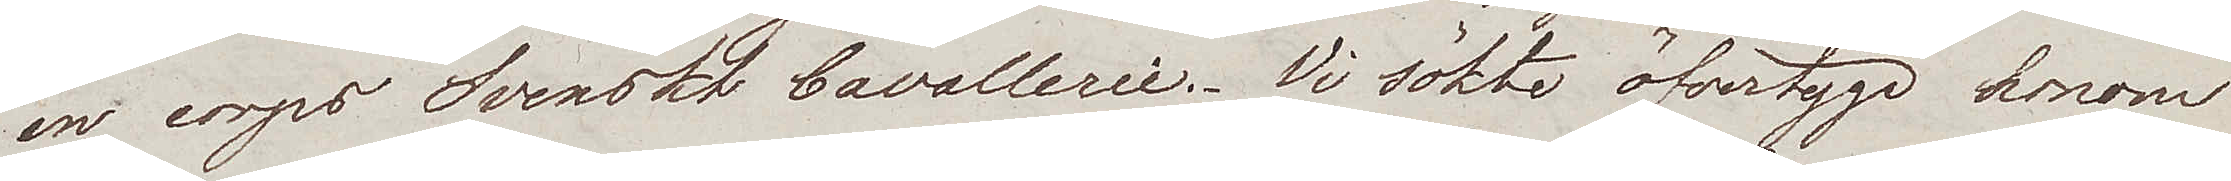en corps Svenskt Cavallerie. Vi sökte öfvertyga honom
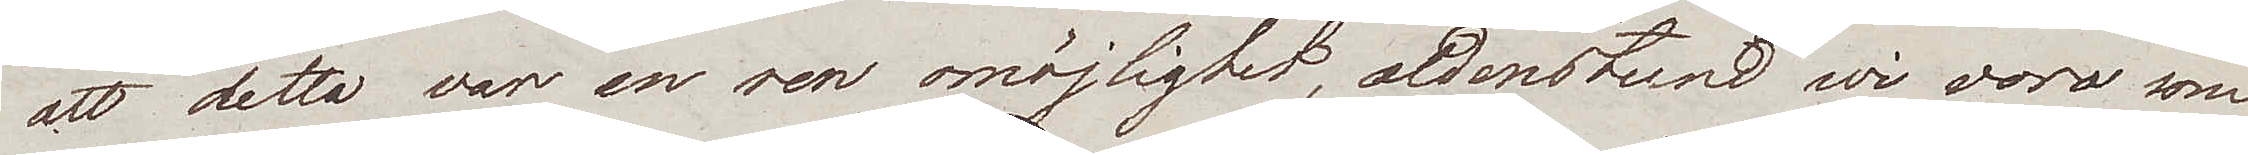att detta var en ren omöjlighet, aldenstund wi voro som
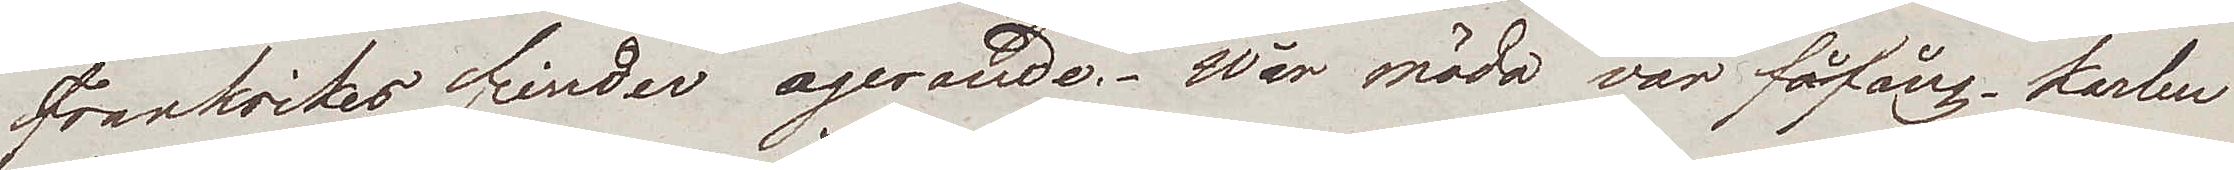Frankrikes fiender agerande. Wår möda var fåfäng. Karlen
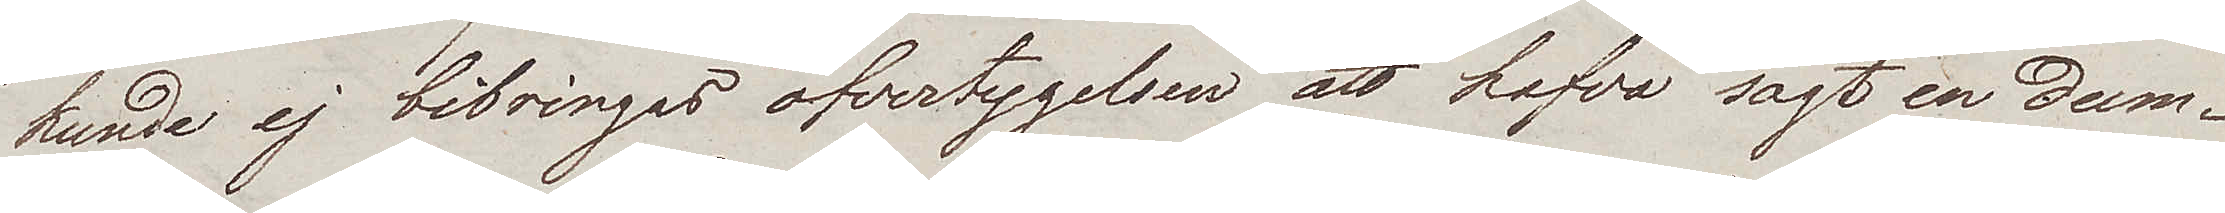kunde ej bibringas öfvertygelsen att hafva sagt en dum¬
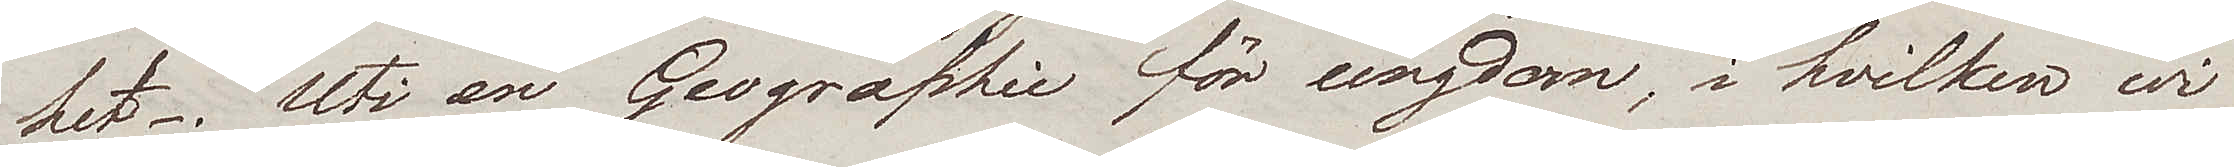het. Uti en Geographie för ungdom, i hvilken wi
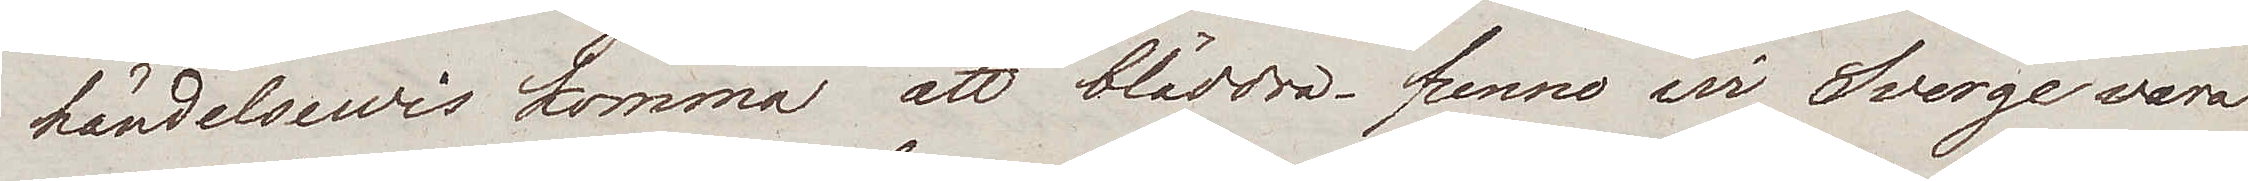händelsewis kommo att bläddra, funno wi Sverge vara
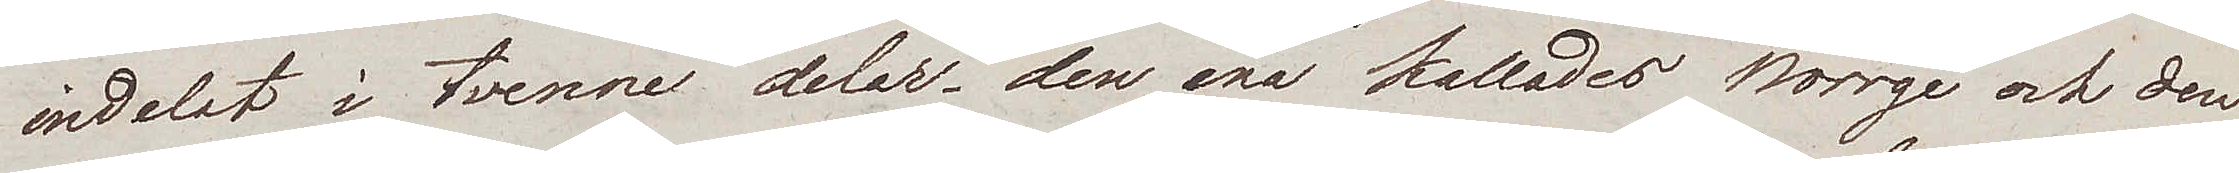indelat i tvenne delar – den ena kallades Norge och den
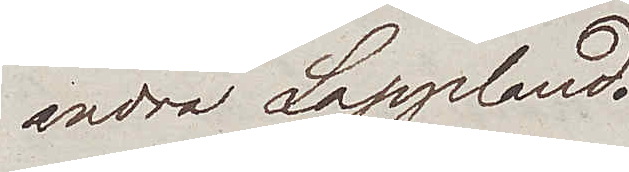andra Lappland.
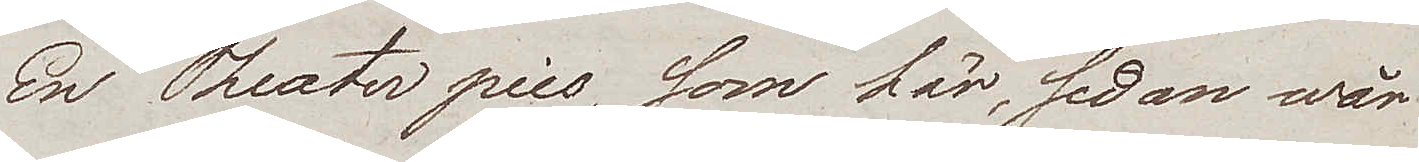En Theater pies, som här, sedan wår
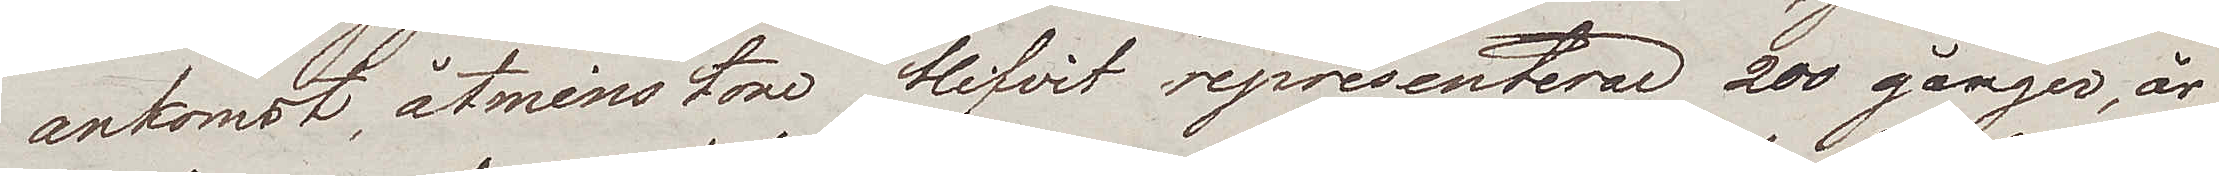ankomst, åtminstone blifvit representerad 200 gånger, är
